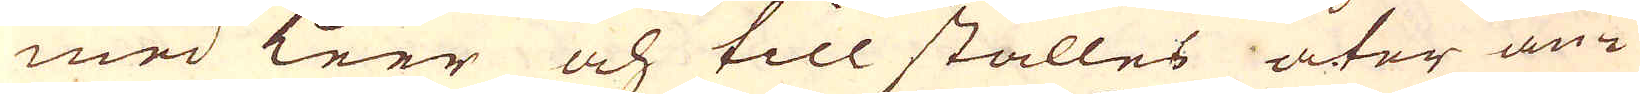med leer och till ställes åter an-
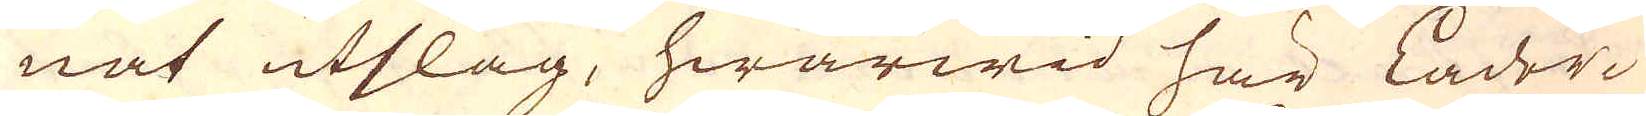nat utslag, hwarwid här Läder
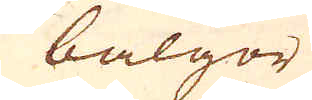bälgor
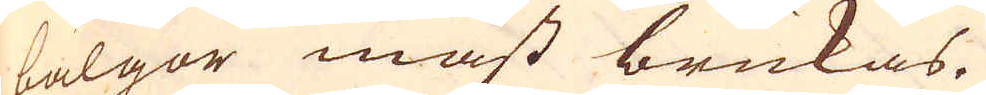bälgor måst brukas.
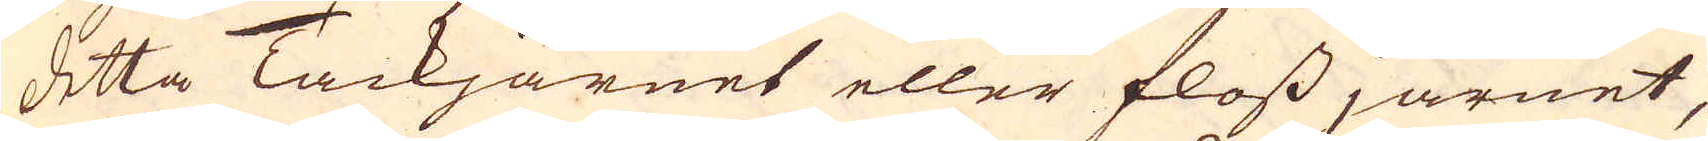Detta Tackjärnet eller flossjärnet,
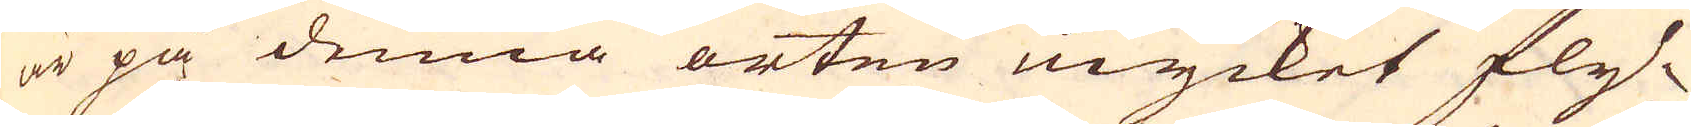är på denna orten mycket fly-
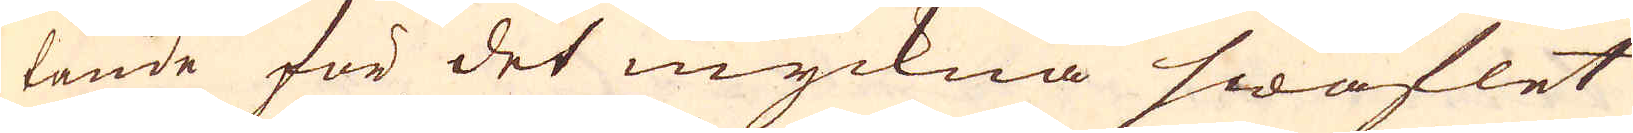tande för det myckna swaflet
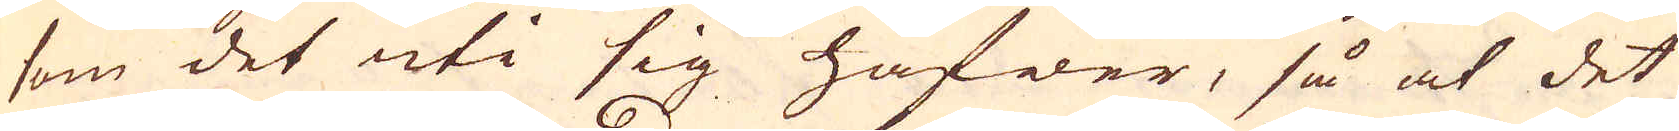som det uti sig hafwer, så at det
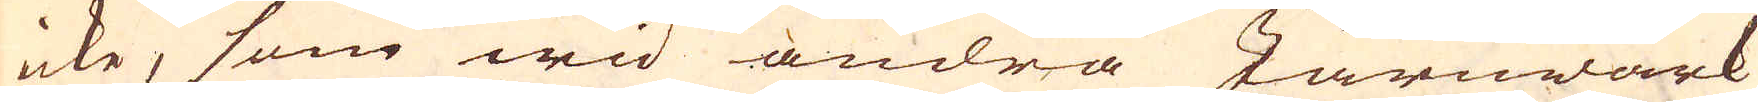icke, som wid andra Järnwärk
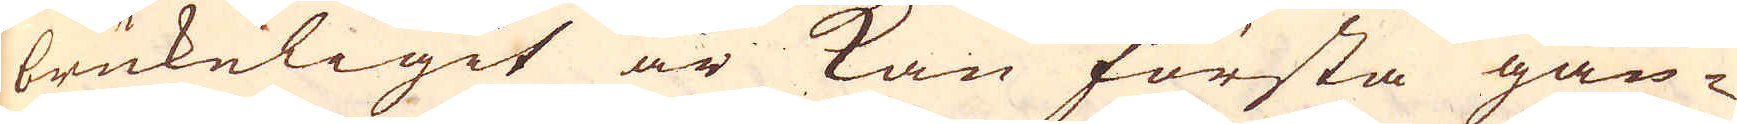brukeligit är kan första gån-
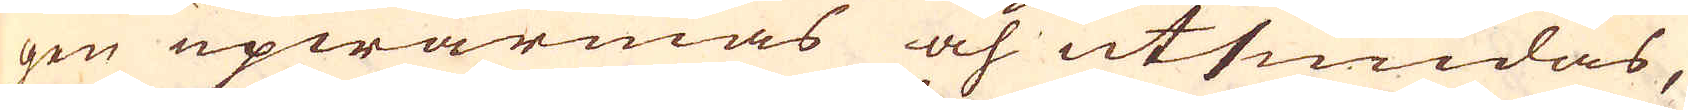gen upwärmas och utsmidas,
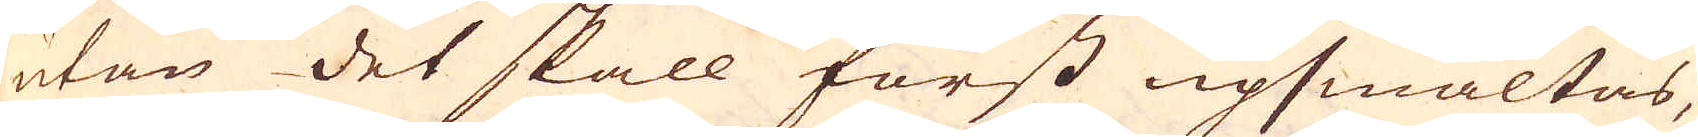utan det skall först upsmältas,
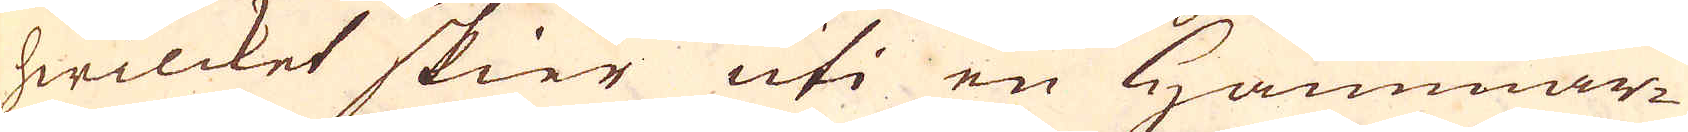hwilcket skier uti en Hammar-
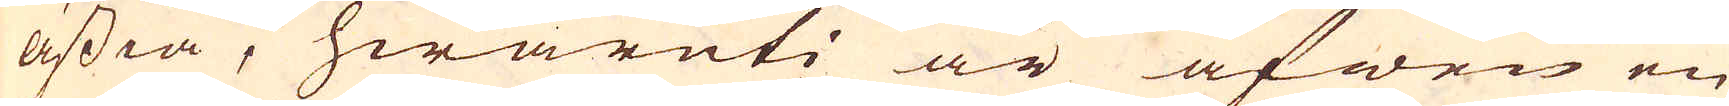ässia, hwaruti är äfwen en
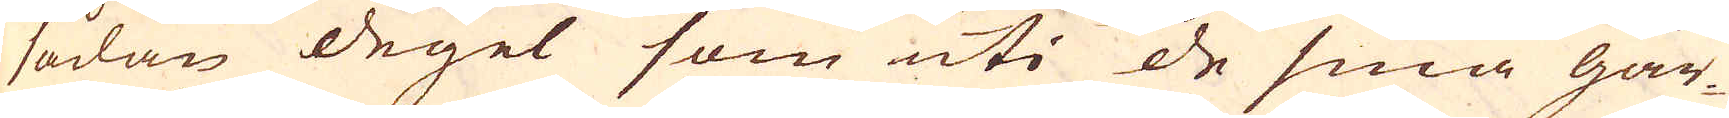sådan degel som uti de små går-
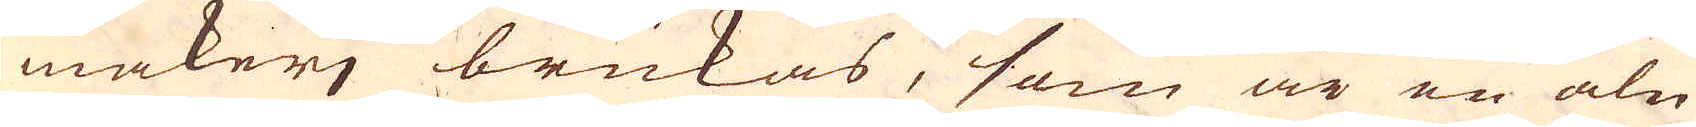makerj brukas, som är en aln
